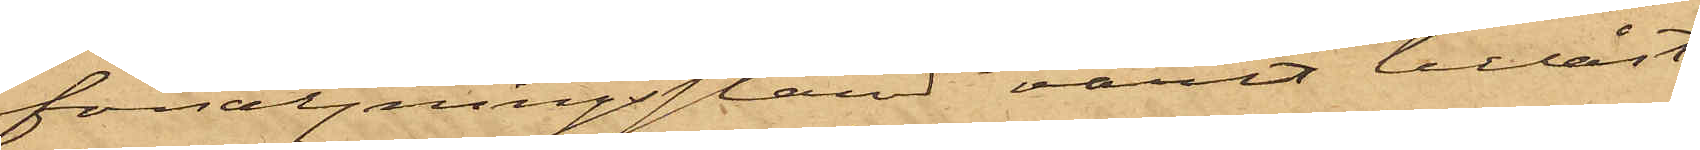försäljningsstånd varit tillåst,
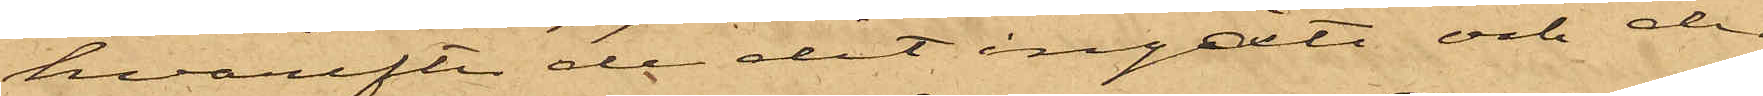hvarefter de dit ingåttt och der
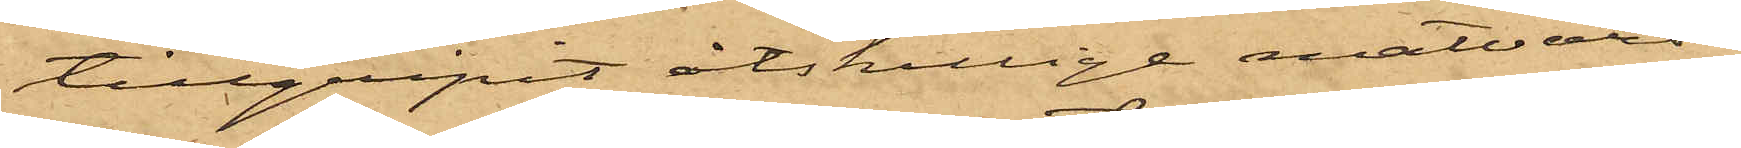tillgripit åtskillige matvaror,
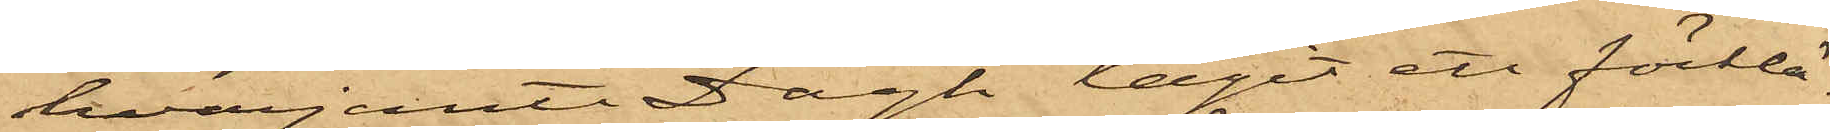hvarjemte Dagh tagit ett förklä¬
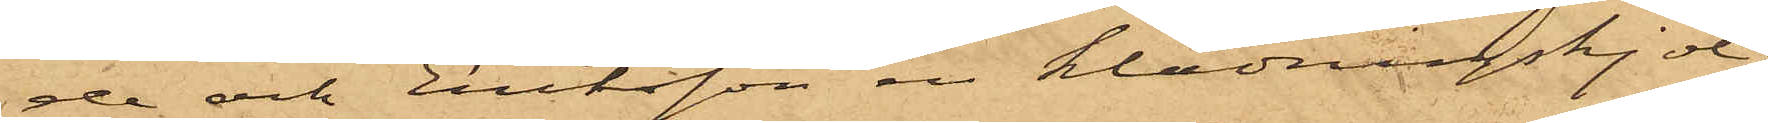de och Eriksson en klädningskjol;
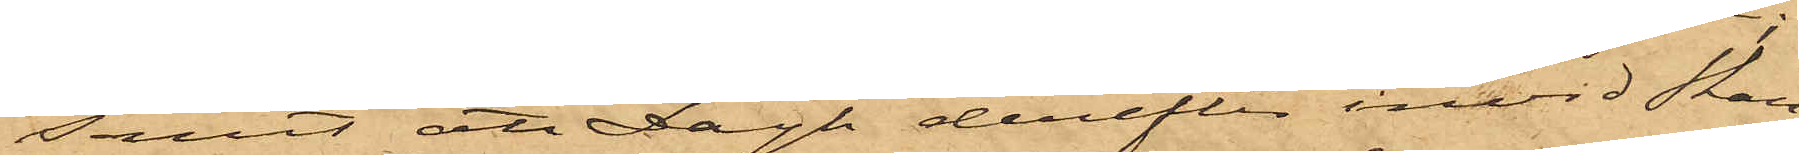samt att Dagh derefter invid Skan¬
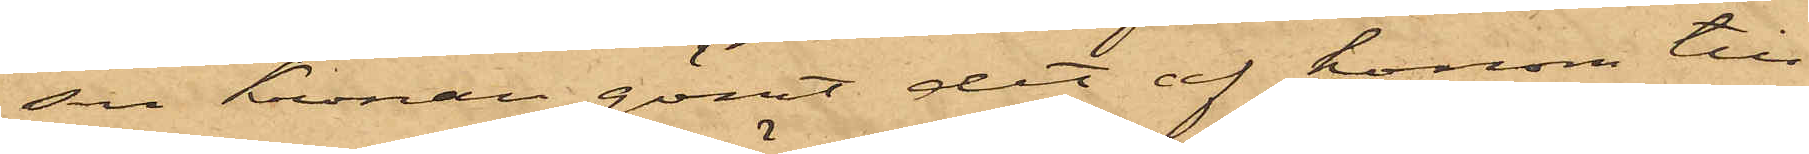sen Kronan gömt det af honom till¬
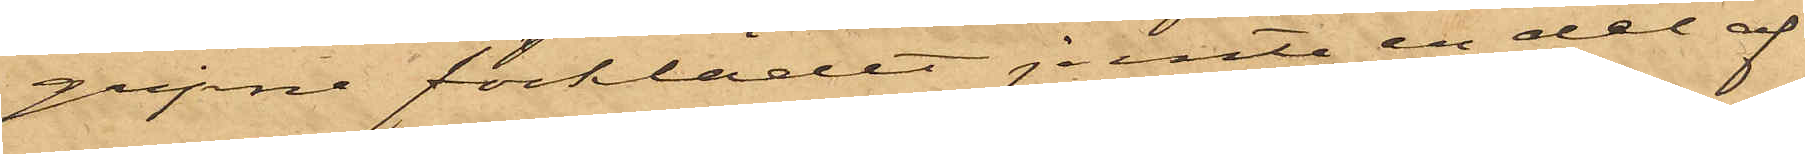gripne förklädet jemte en del af
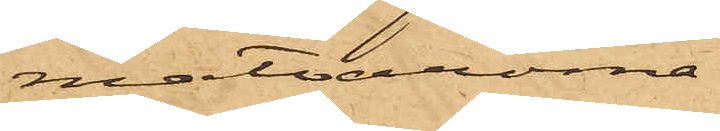matvarorna.
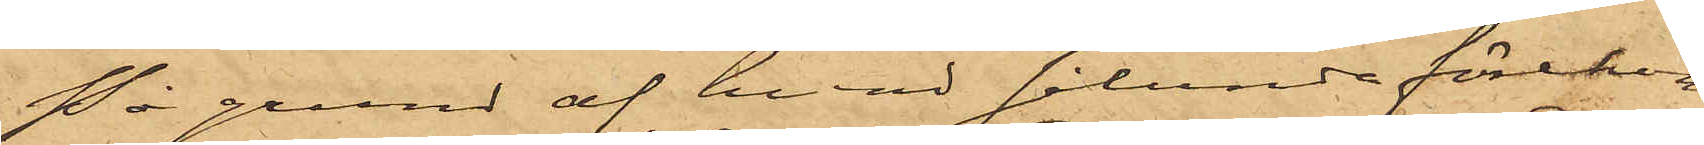På grund af hvad sålunda förekom¬
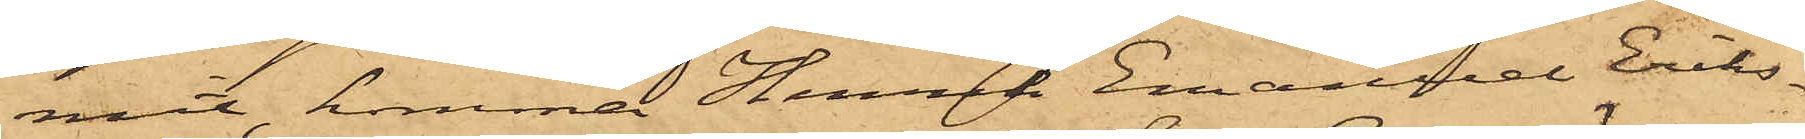mit, kommer Henrik Emanuel Eriks¬
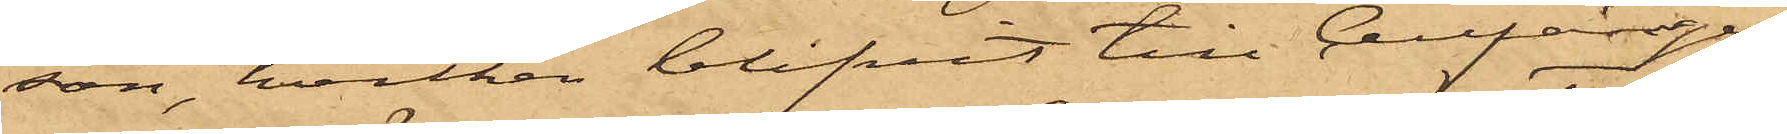son, hvilken blifvit till Cellfängel¬
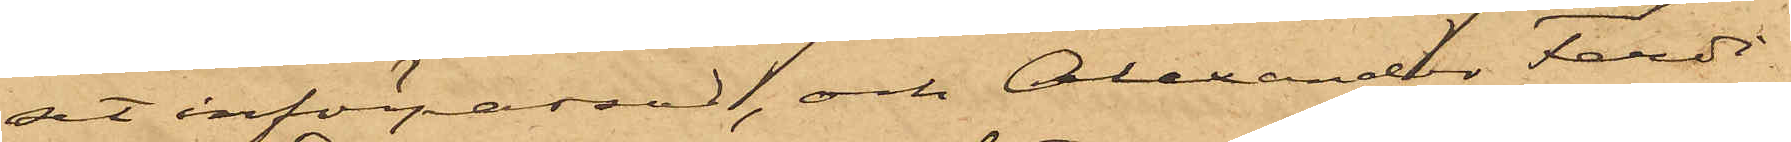set införpassad, och Alexander Ferdi¬
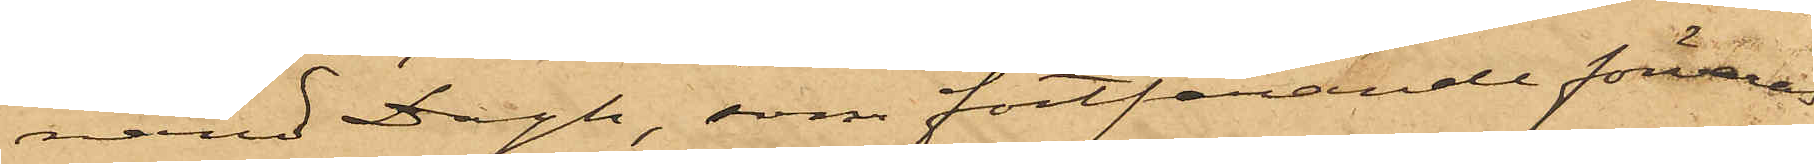nand Dagh, som fortfarande förvaras
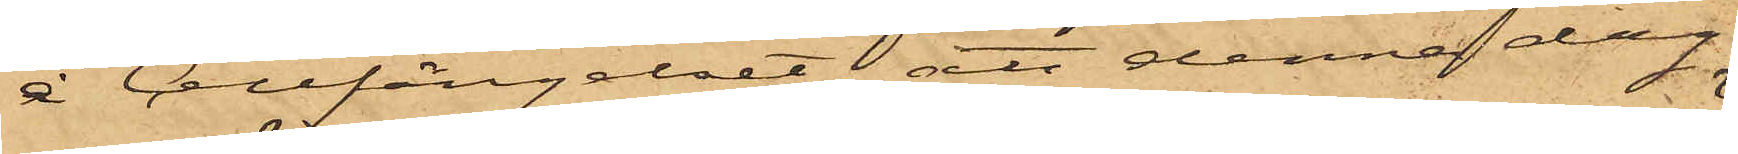å Cellfängelset, att denna dag
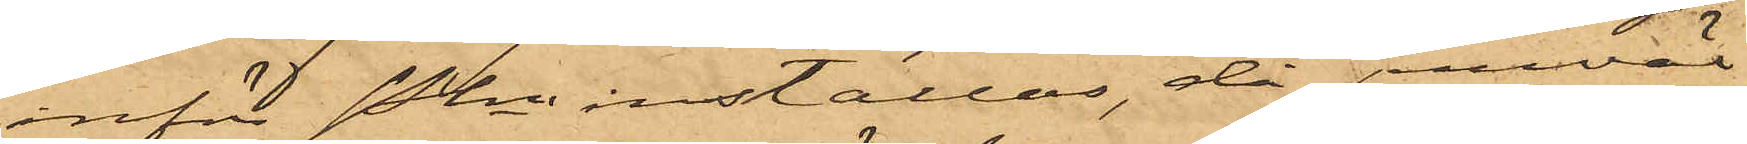inför Pkn inställas, då jemväl
